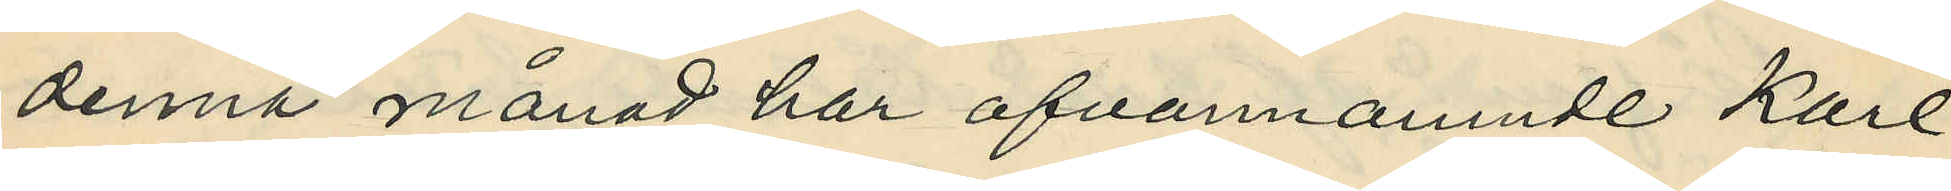denna månad har ofvannamnde Karl
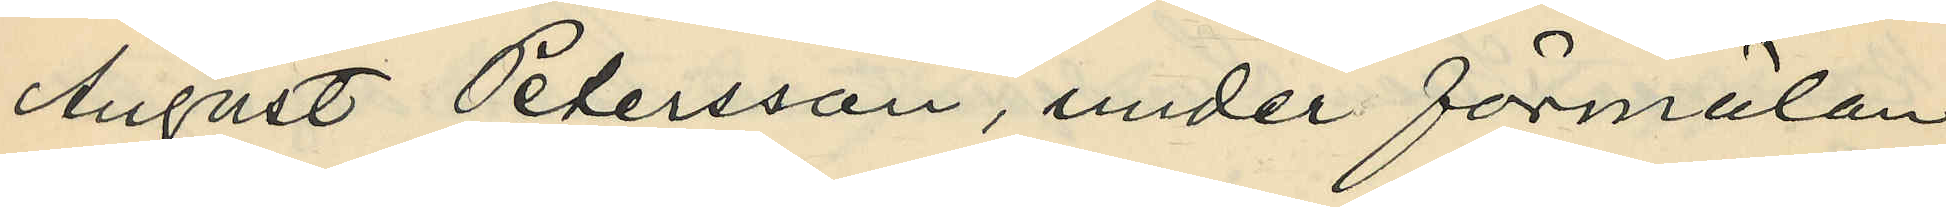August Petersson, under förmälan
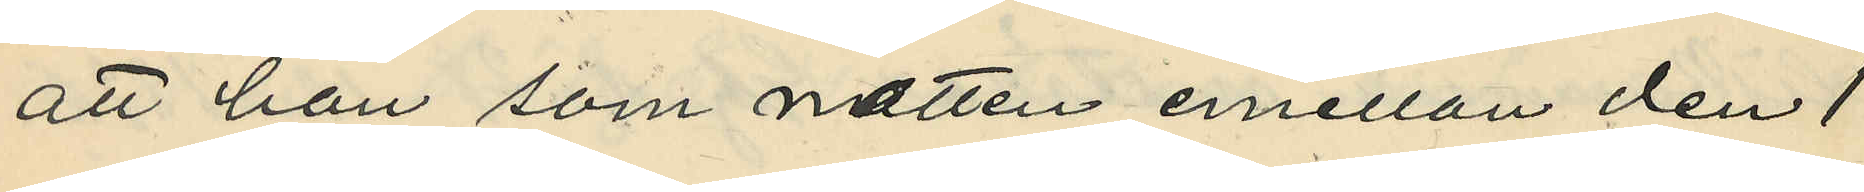att han som natten emellan den 1
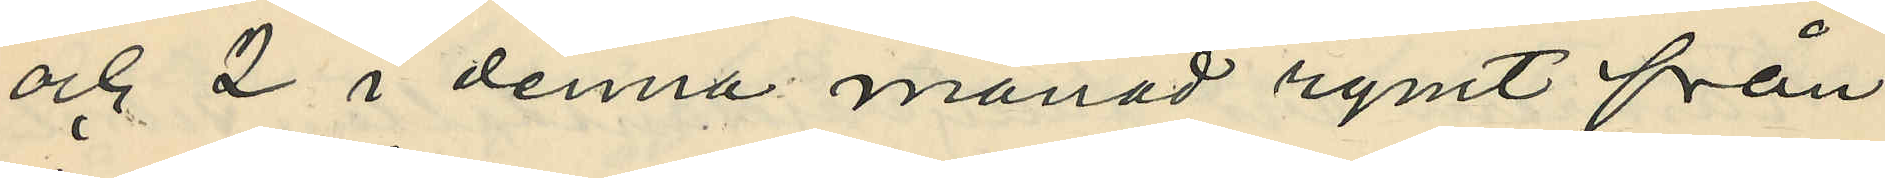och 2 i denna månad rymt från
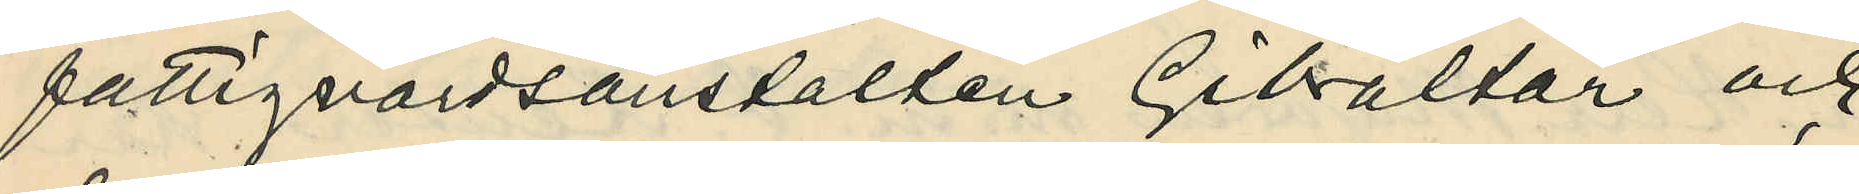fattigvårdsanstalten Gibraltar och
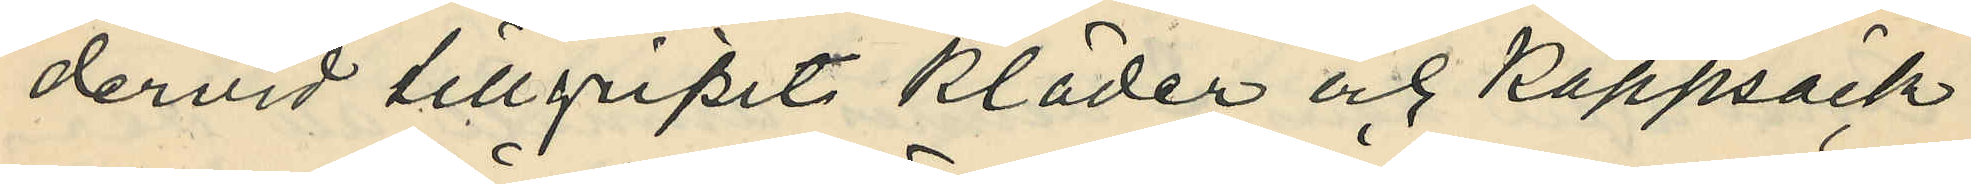dervid tillgripit kläder och kappsäck
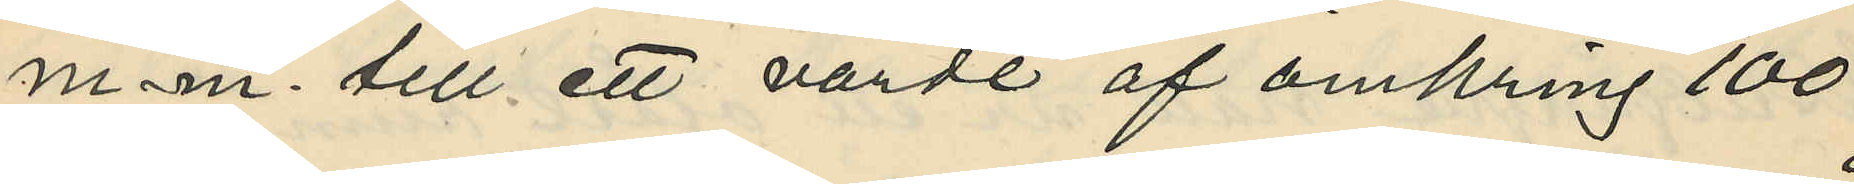m. m. till ett värde af omkring 100
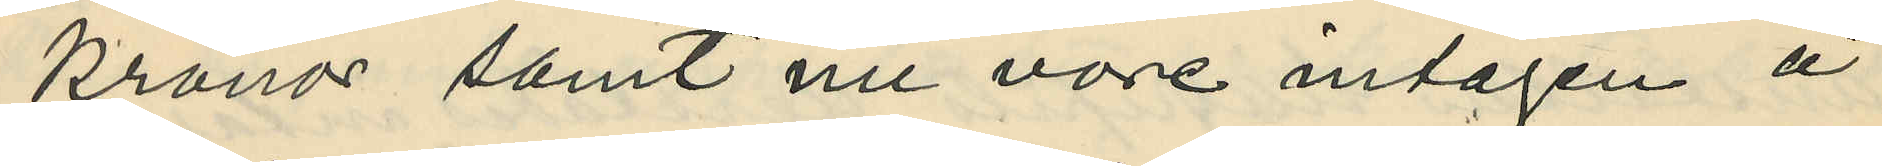kronor samt nu vore intagen å
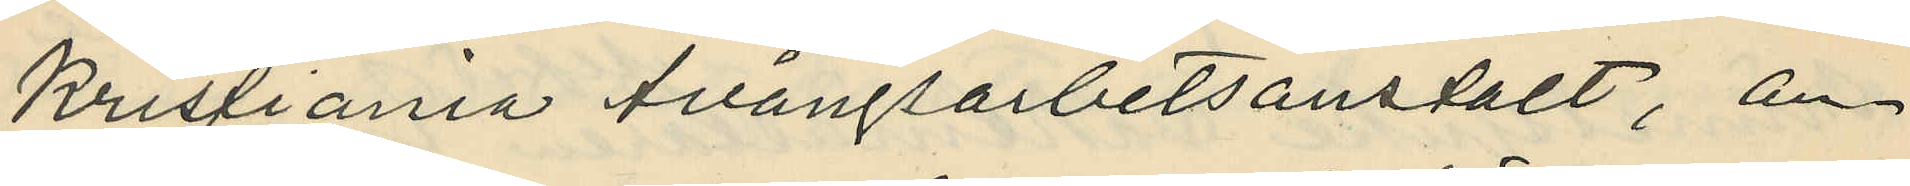Kristiania tvångsarbetsanstalt, an¬
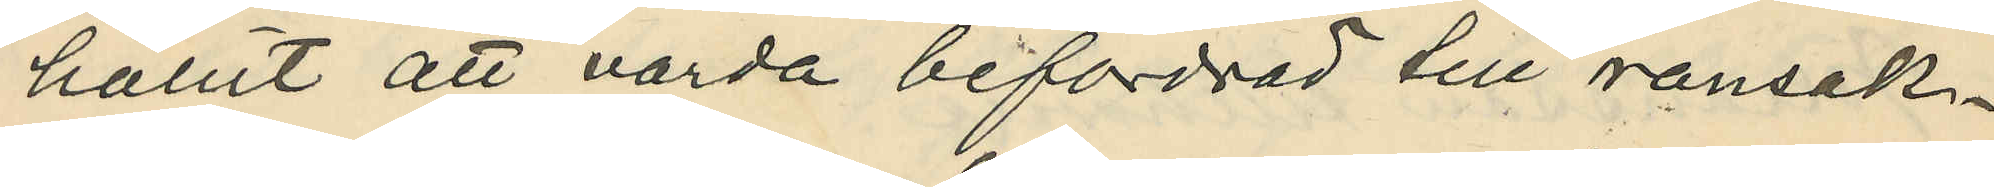hållit att varda befordrad till ransak¬
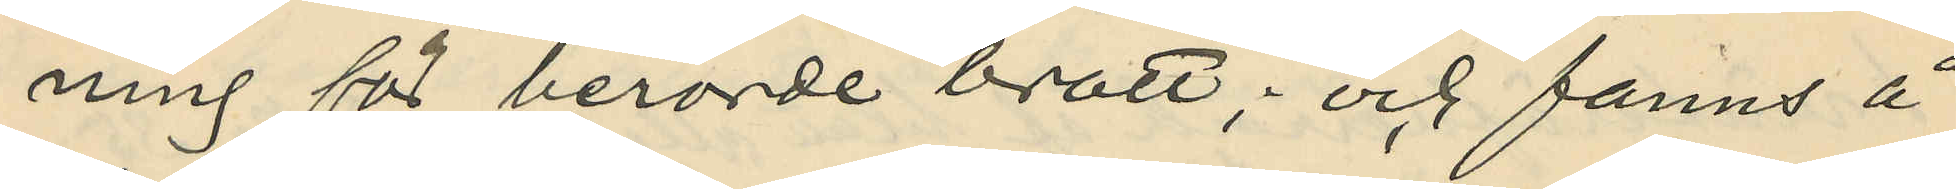ning för berörde brott; och fanns å
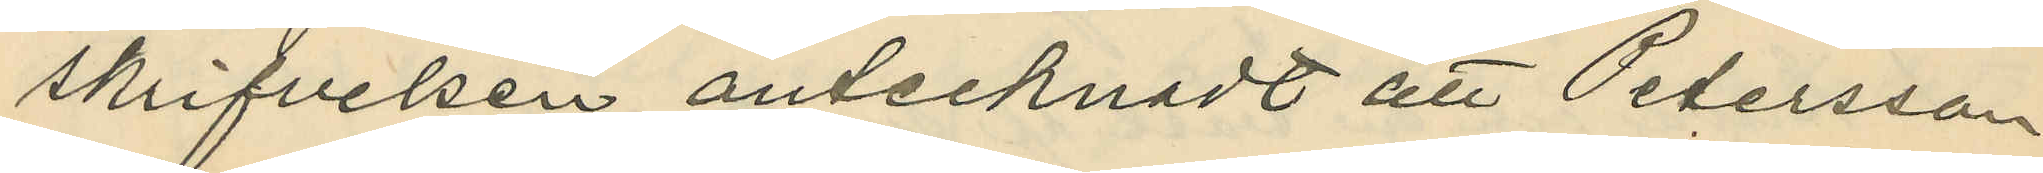skrifvelsen antecknadt att Petersson
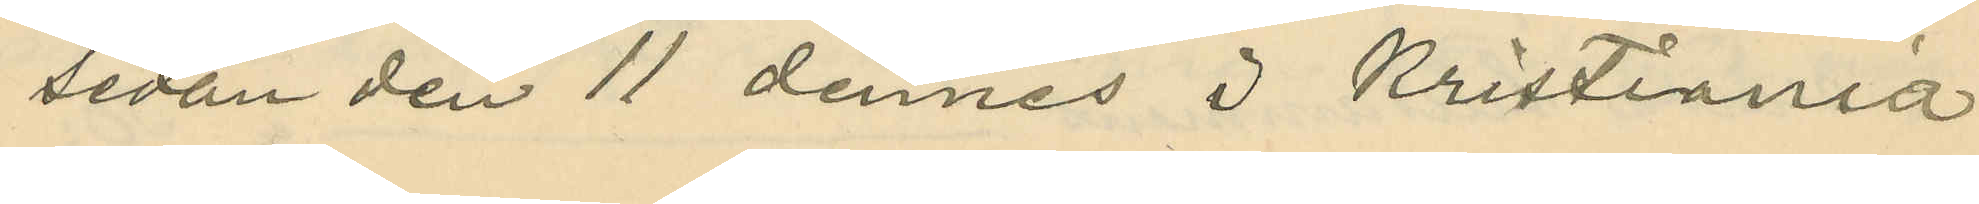sedan den 11 dennes i Kristiania
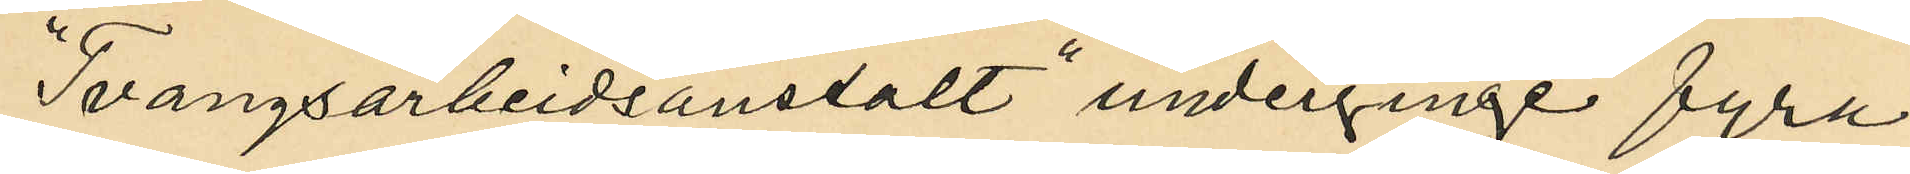"Tvangsarbeidsanstalt" underginge fyra
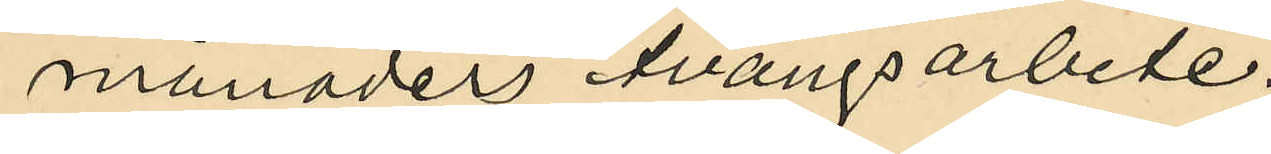månaders tvångsarbete.
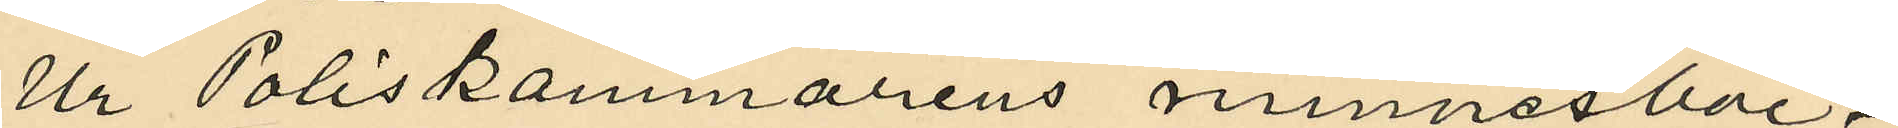Ur Poliskammarens minnesböc¬
